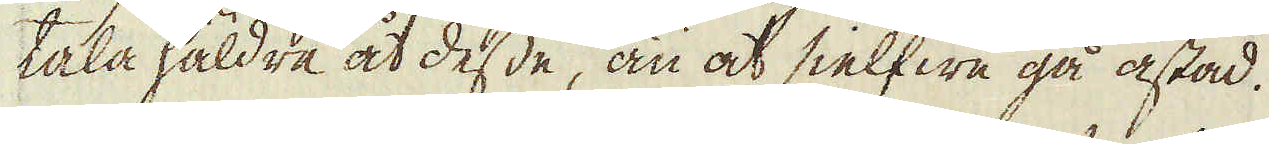tala häldre åt desse, än at sielfwe gå åstad.
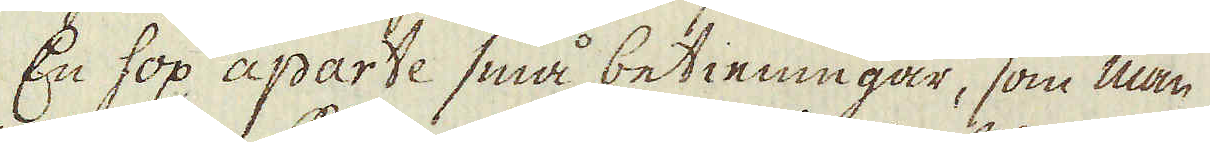En hop aparte små betieningar, som man
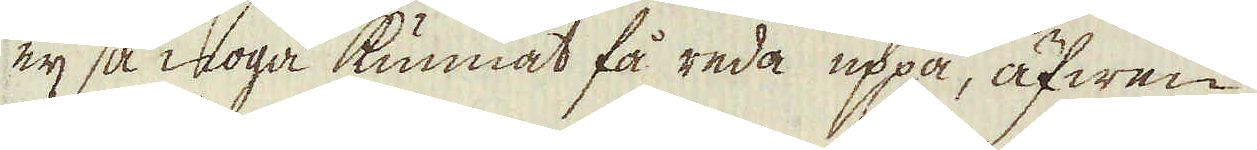eij så noga kunnat få reda uppå, äfwen
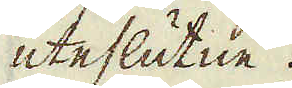uteslutne.
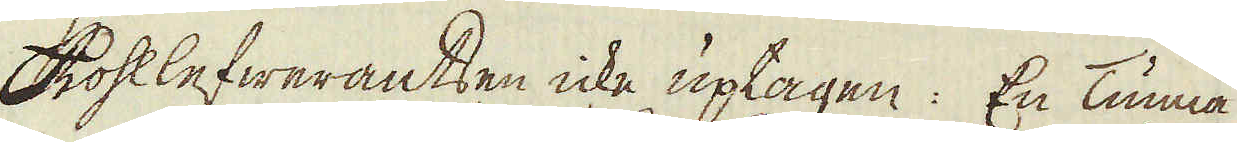Kohllefwerantsen icke uptagen: En Tunna
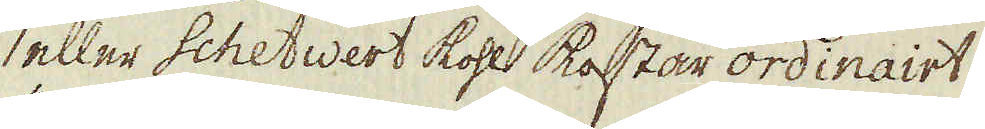eller schetwert kohl kostar ordinairt
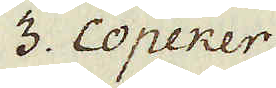3. Copeker.
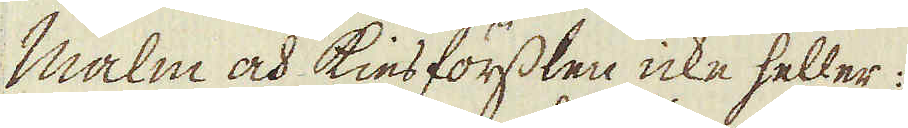Malm och kies förslen icke heller:
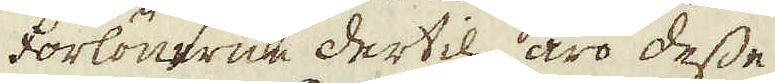Forlönerne dertil äro desse
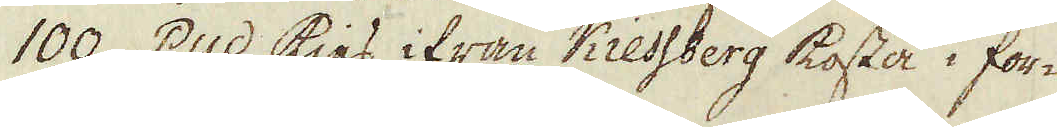100. Pud kies ifrån Kiessberg kosta i for-
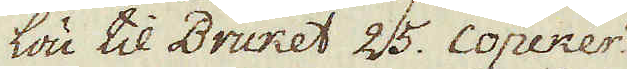lön til Bruket 25. Copeker.
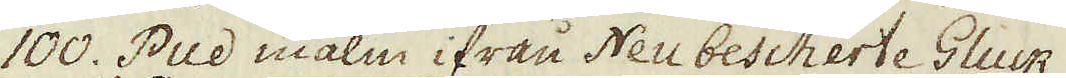100. Pud malm ifrån Neu bescherte Gluck
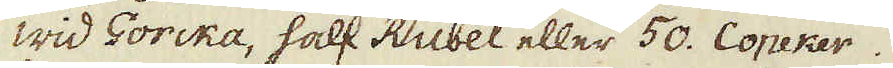wid Gorcka, half Rubel eller 50. Copeker.
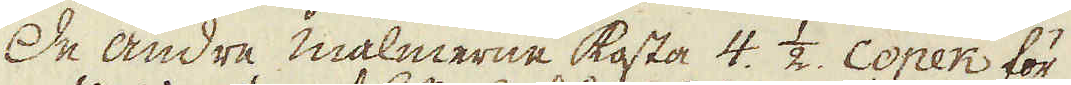De andre malmerne kosta 4. 1/2. Copek för
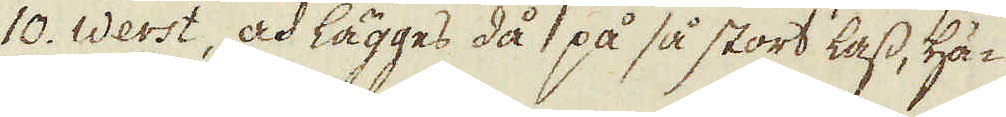10. Werst, och lägges då på så stort lass, hä-
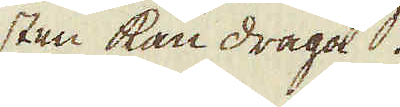sten kan draga.
